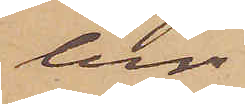ber
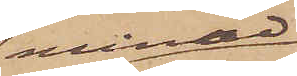månad
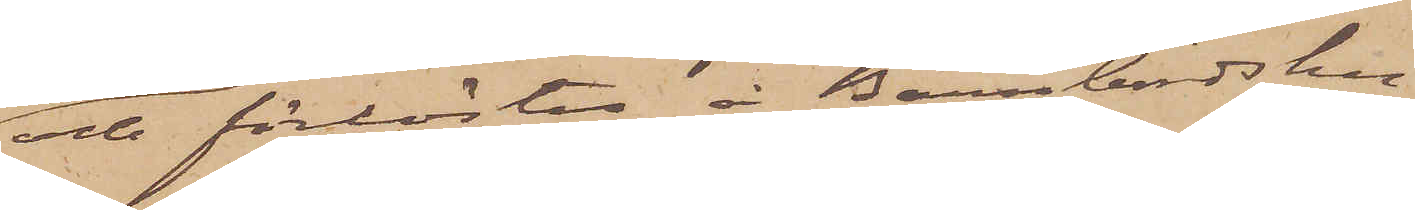och förlöstes å Barnbördshu¬
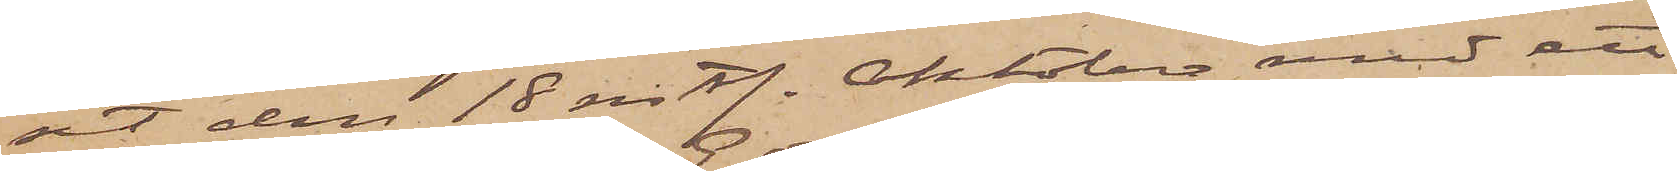set den 18 sistl. Oktober med ett
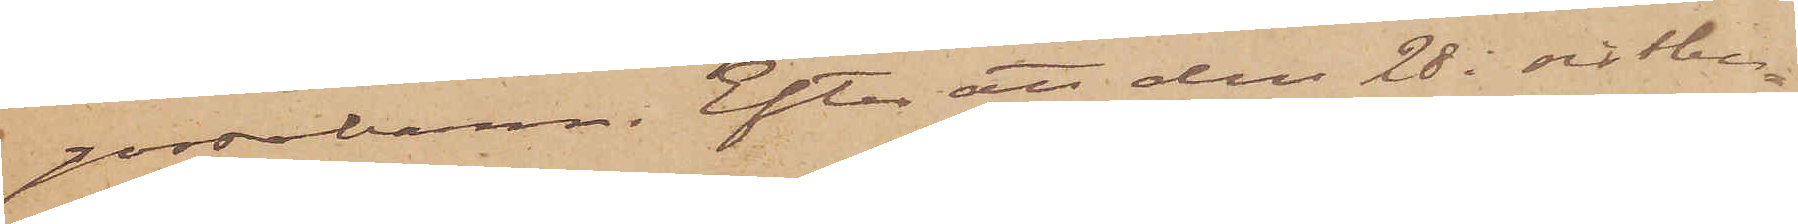gossebarn. Efter att den 28 i sistbe¬
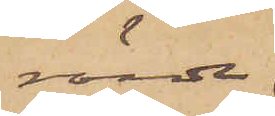rörde
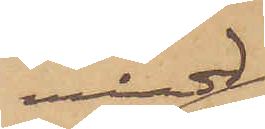månad
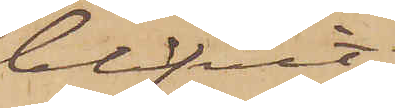blifvit
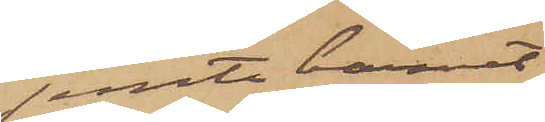jemte barnet
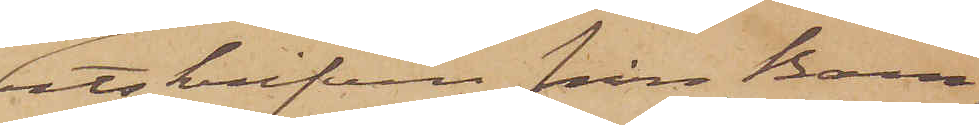utskrifven från Barn¬
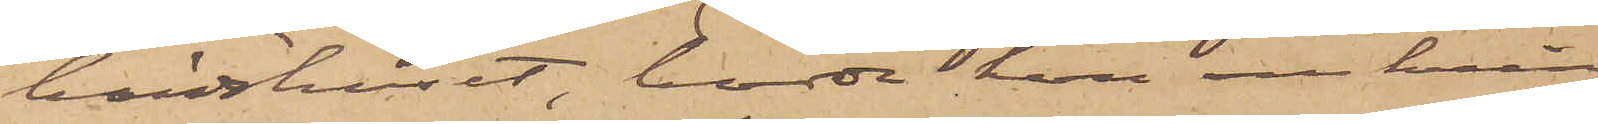bördshuset, bodde hon omkring
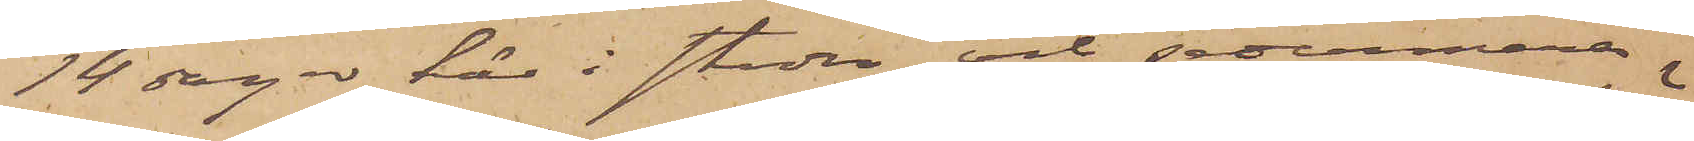14 dagar här i staden och sedermera
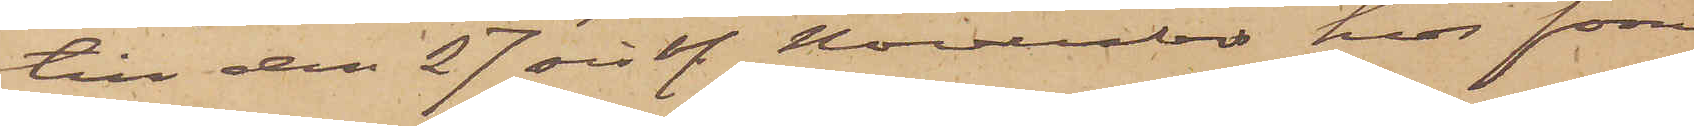till den 27 sistl. November hos förre
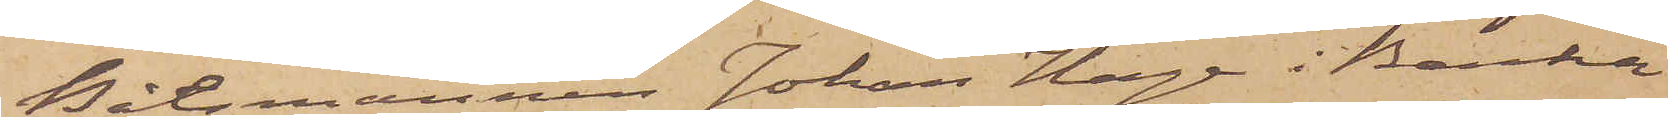Båtsmannen Johan Haga i Backa
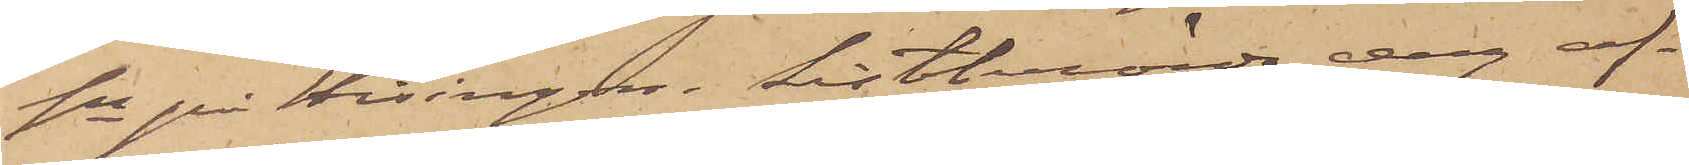sn på Hisingen. Sistberörde dag af¬
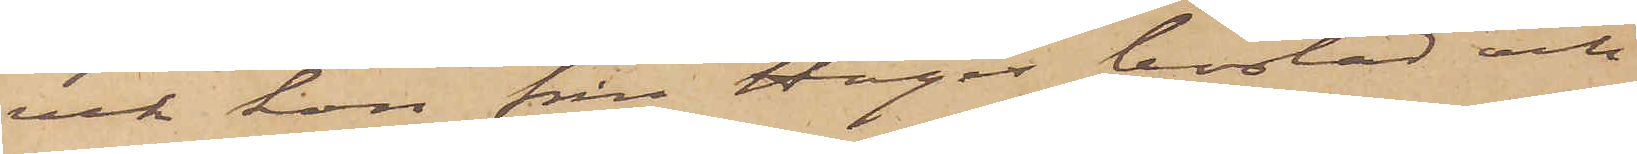vek hon från Hagas bostad och
